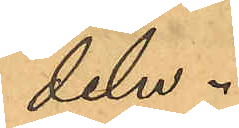deln.
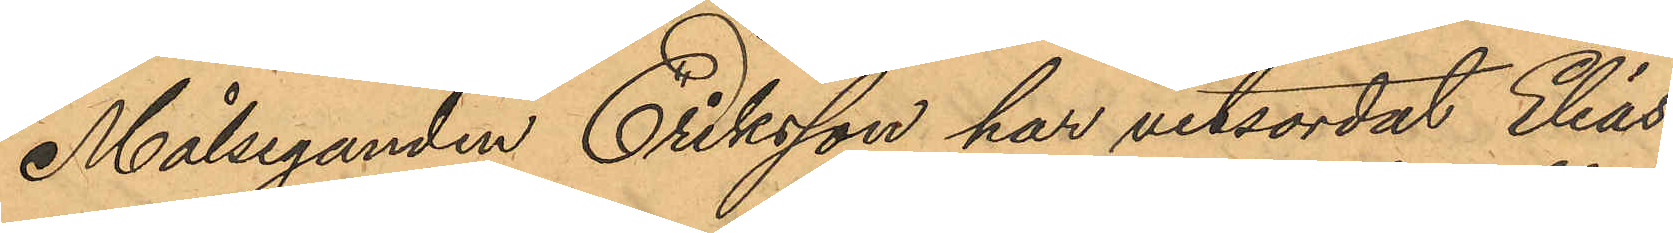Målseganden Eriksson har vitsordat Elias¬
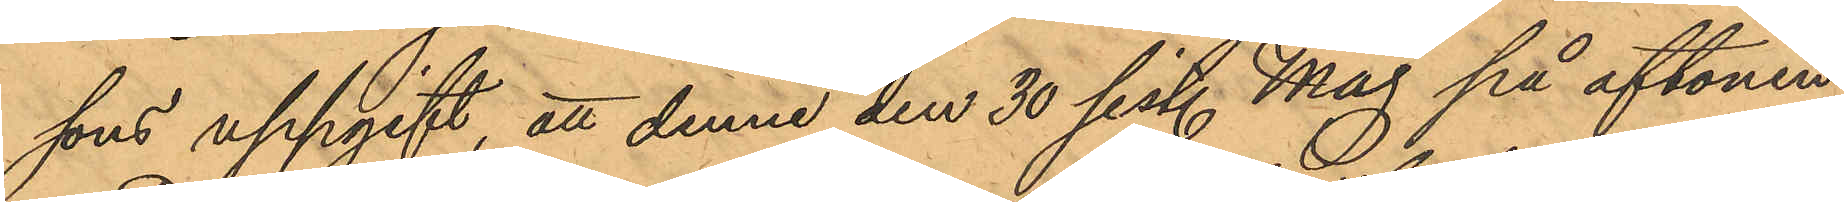sons uppgift, att denne den 30 sist. Maj på aftonen,
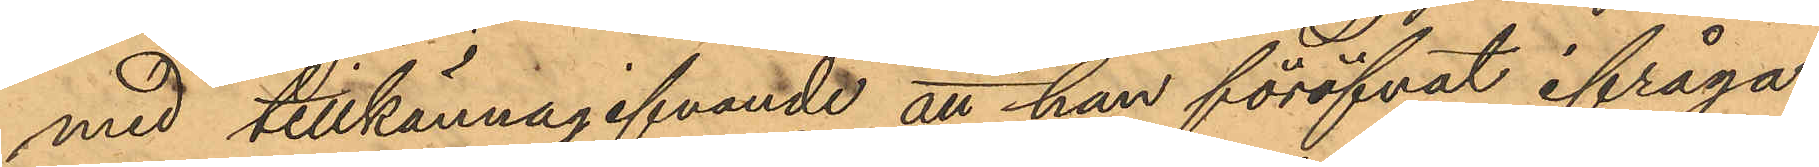med tillkännagifvande att han föröfvat ifråga¬
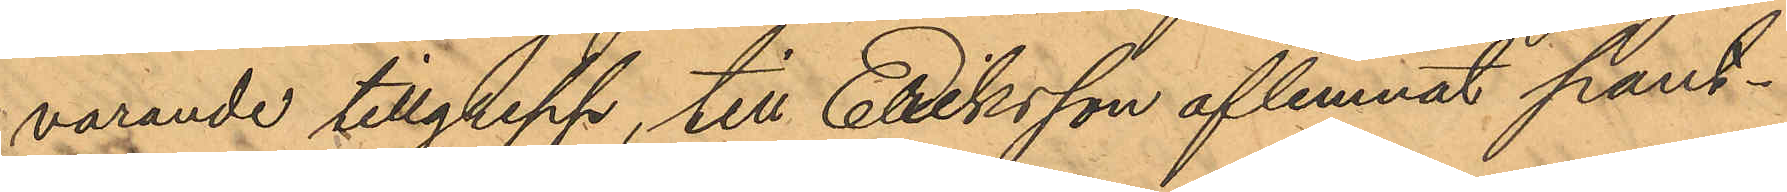varande tillgrepp, till Elriksson aflemnat pant¬
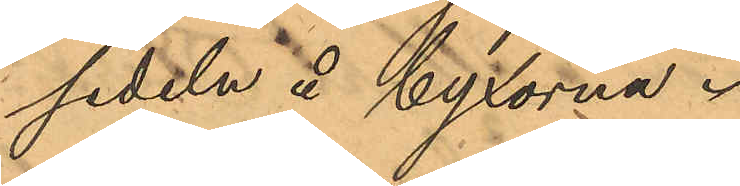sedeln å Byxorna.
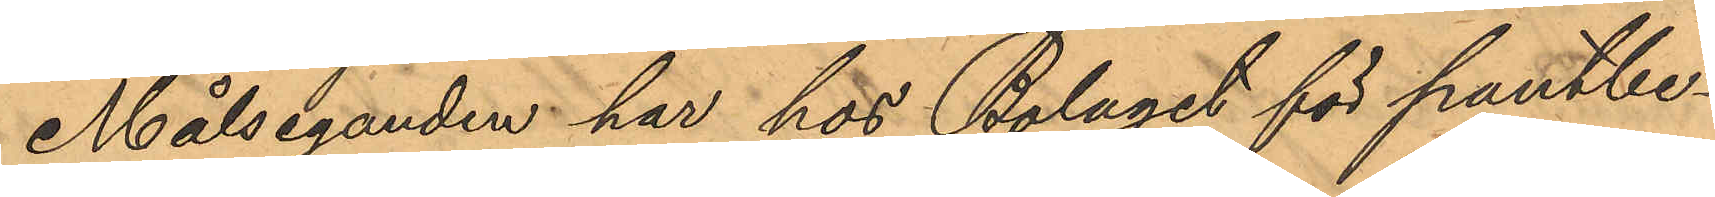Målseganden har hos Bolaget för pantbe¬
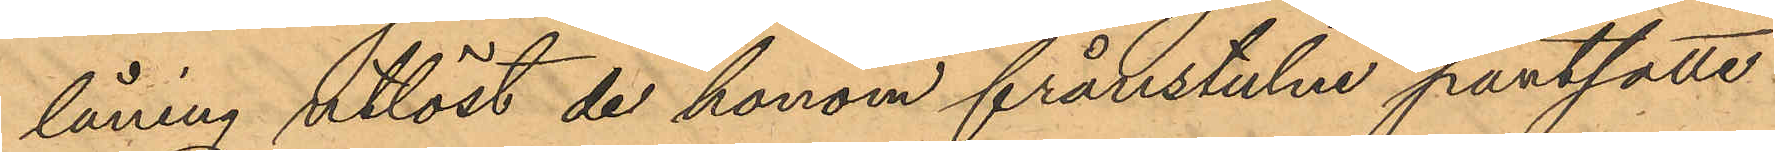låning utlöst de honom frånstulne pantsatte
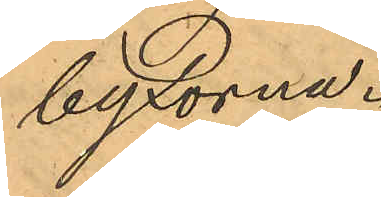byxorna.
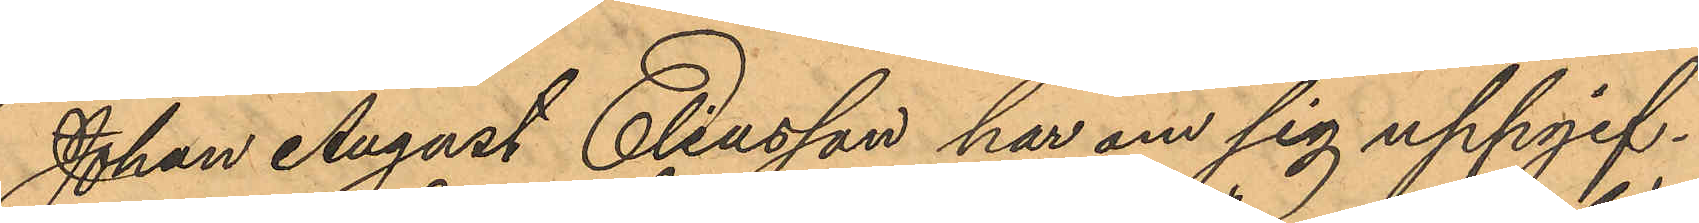Johan August Eliasson har om sig uppgif¬
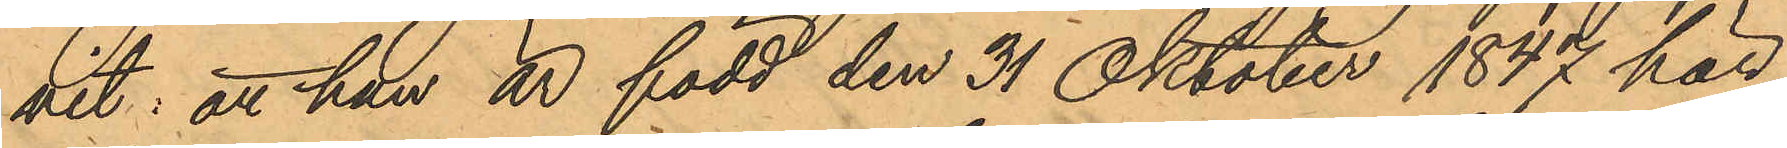hit: att han är född den 31 Oktober 1847 här
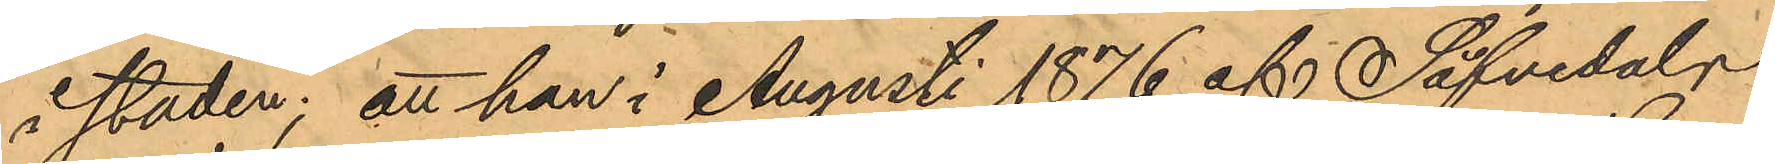i staden; att han i Augusti 1876 af Säfvedals
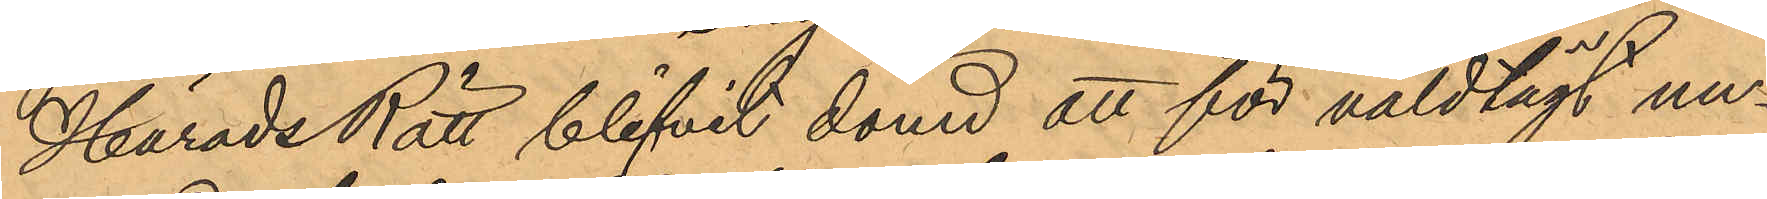Härads Rätt blifvit dömd att för våldtägt un¬
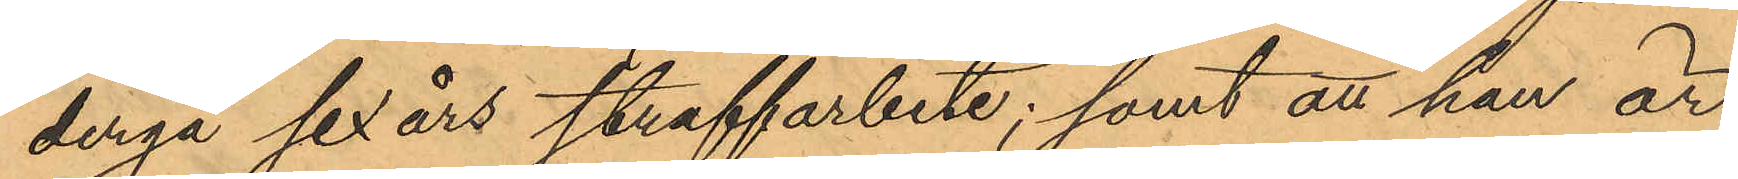dergå sex års straffarbete; samt att han är
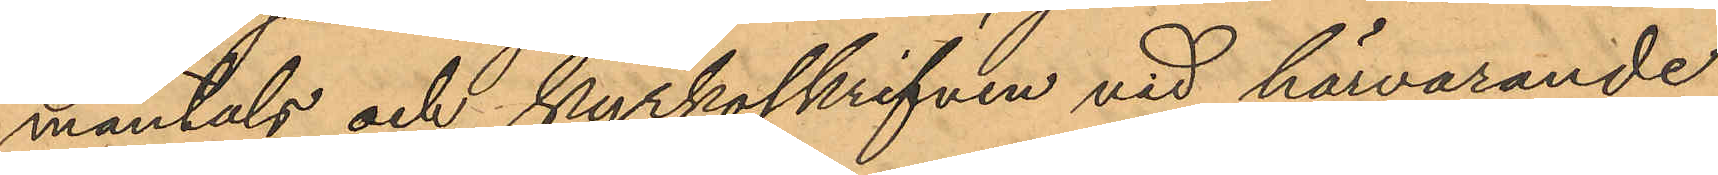mantals och kyrkoskrifven vid härvarande
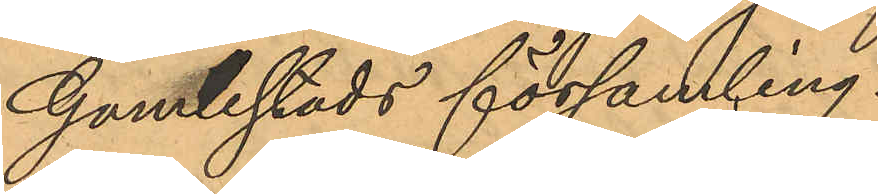Gamlestads församling.
